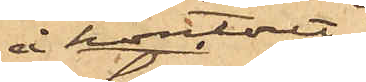å kontoret
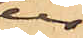ur
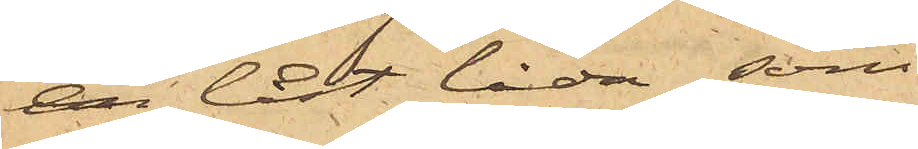en låst låda, som
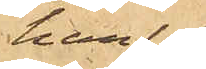han
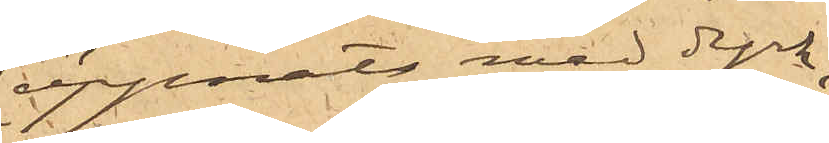öppnats med dyrk,
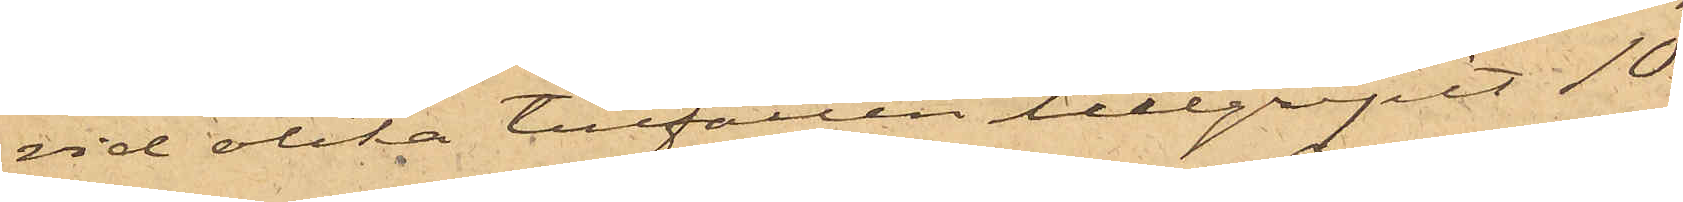vid olika tillfällen tillgripit 10
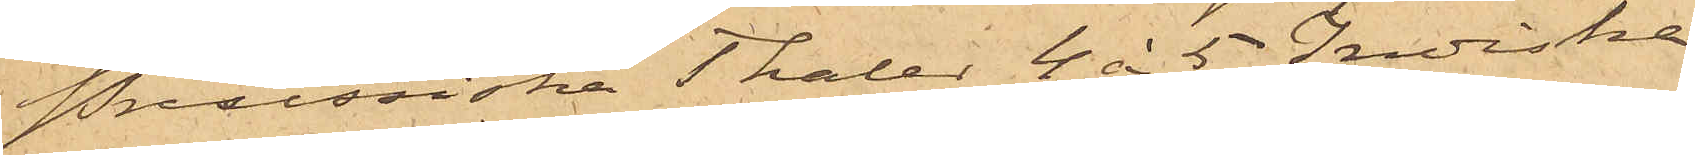Preussiska Thaler, 4 à 5 Indiska
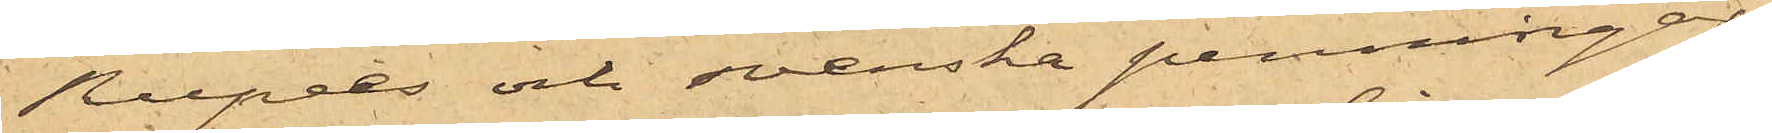Rupees och svenska penningar,
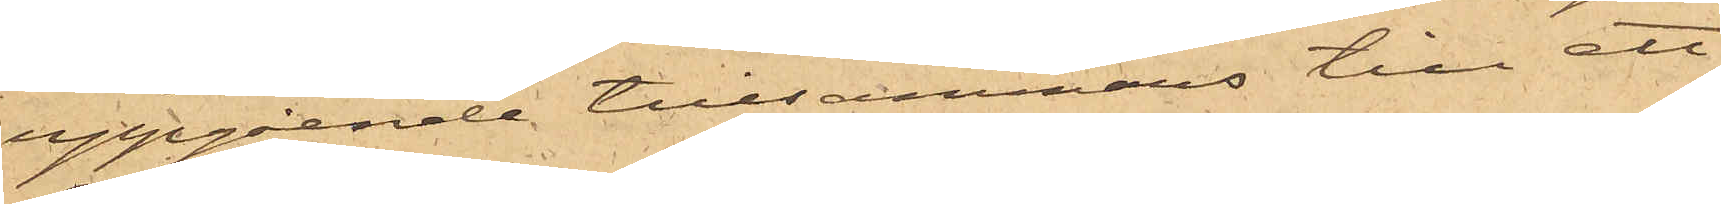uppgående tillsammans till ett
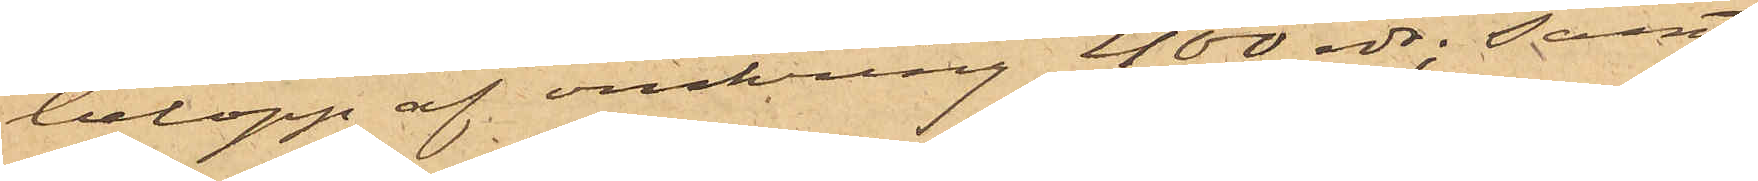belopp af omkring 400 rdr; samt
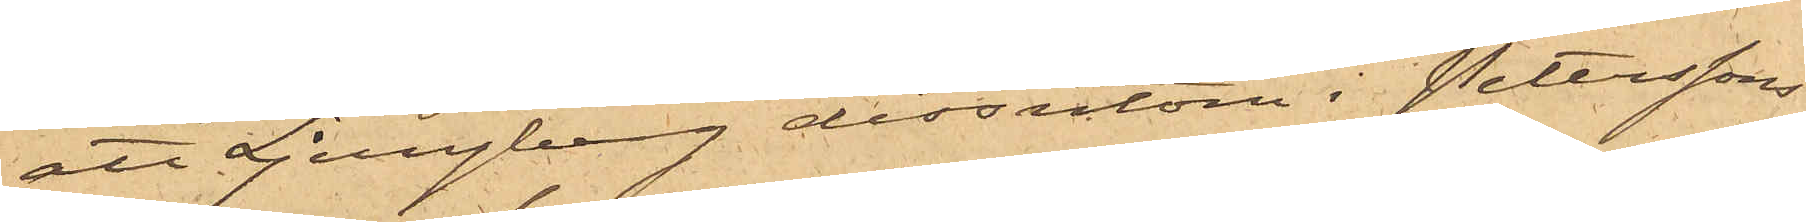att Ljungberg dessutom i Peterssons
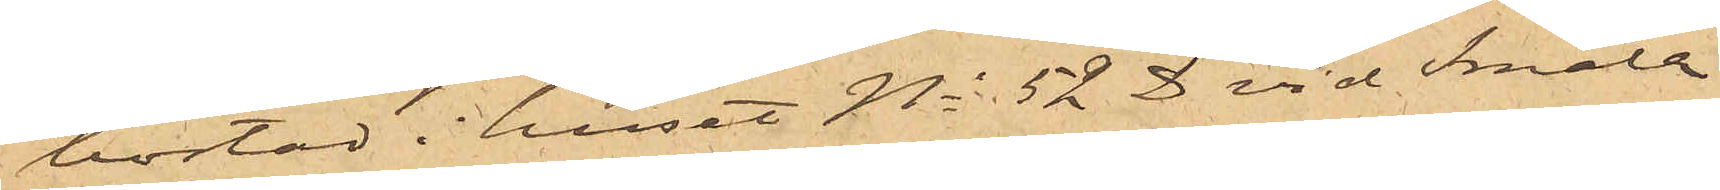bostad i huset No 52 D vid Smala
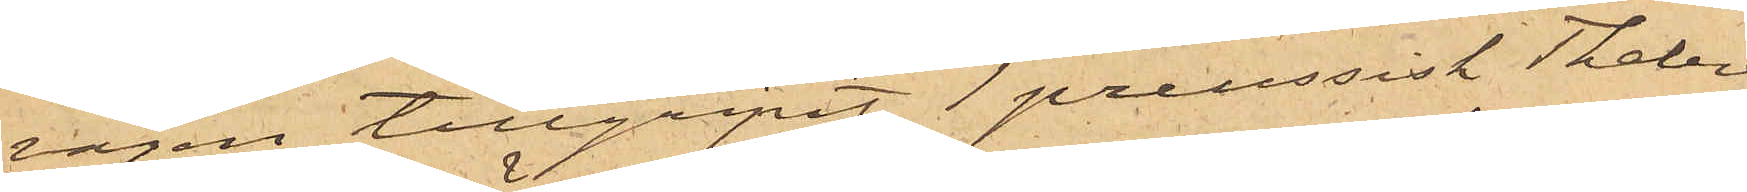vägen tillgripit 1 preussisk Thaler,
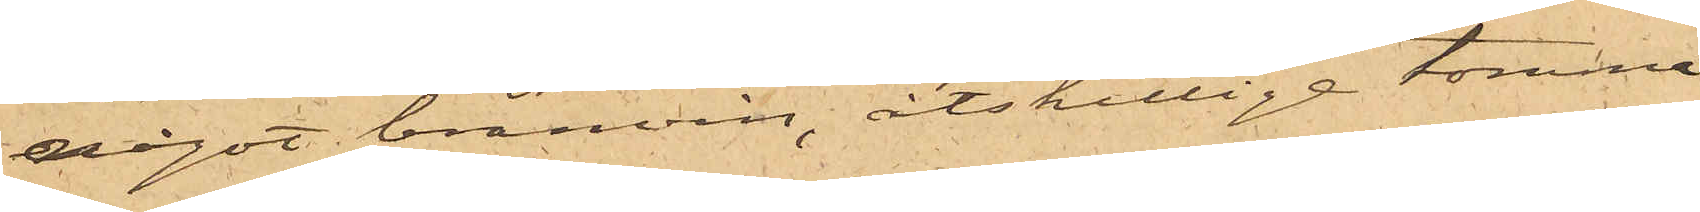något bränvin, åtskilliga tomme
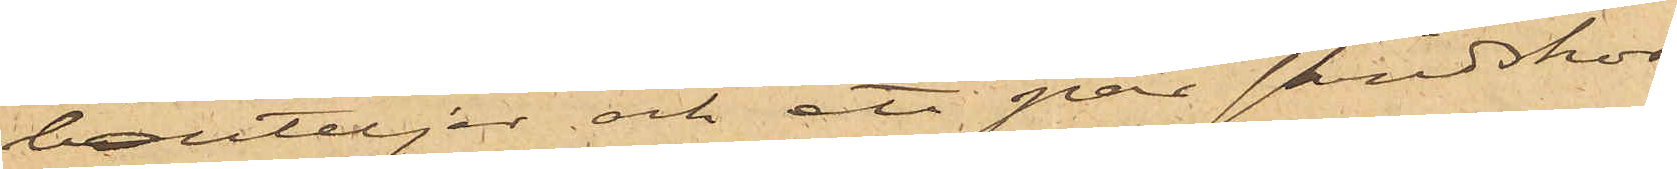bouteljer och ett par skridskor.
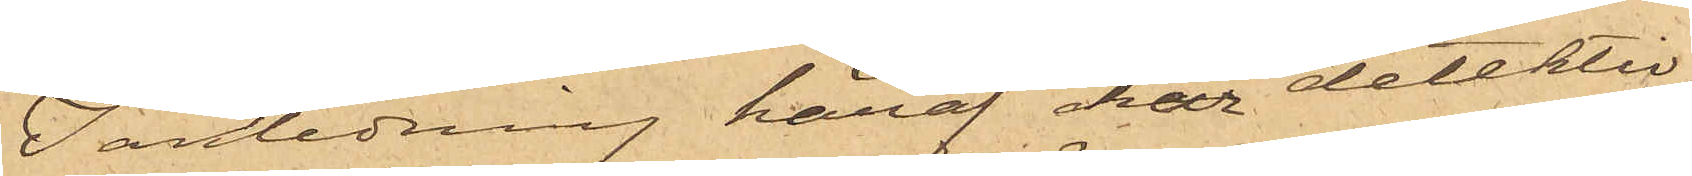I anledning häraf har detektiv¬
